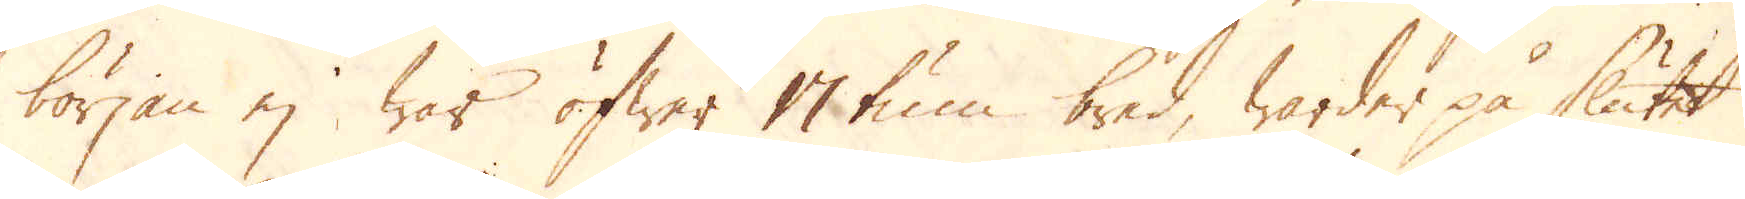början ej war öfwer 17 tum bred, warder på slutet
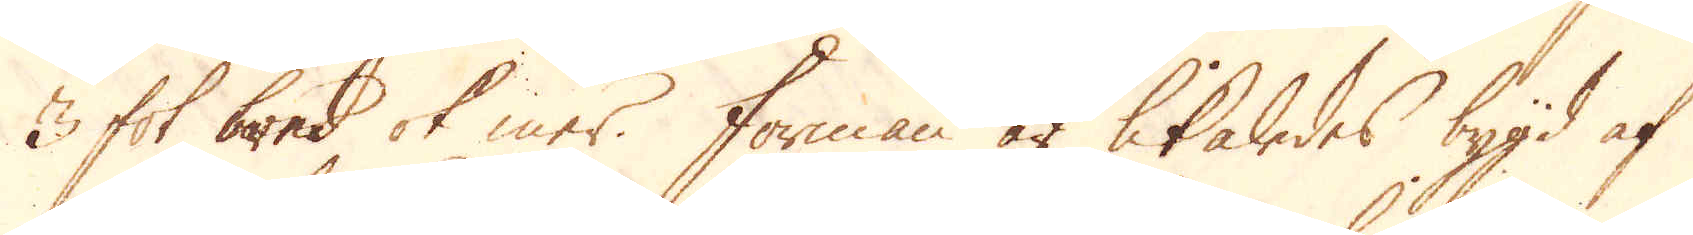3 fot bred ok mer. Forman är likaledes bygd af
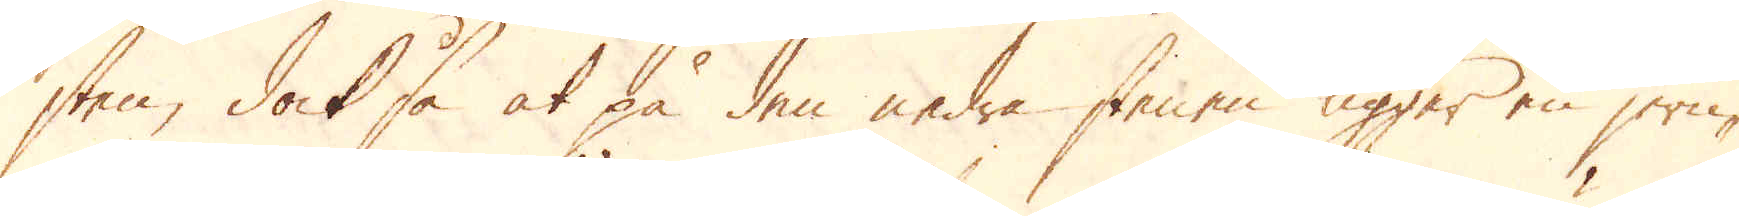sten, dock så at på den nedre stenen ligger en jern-
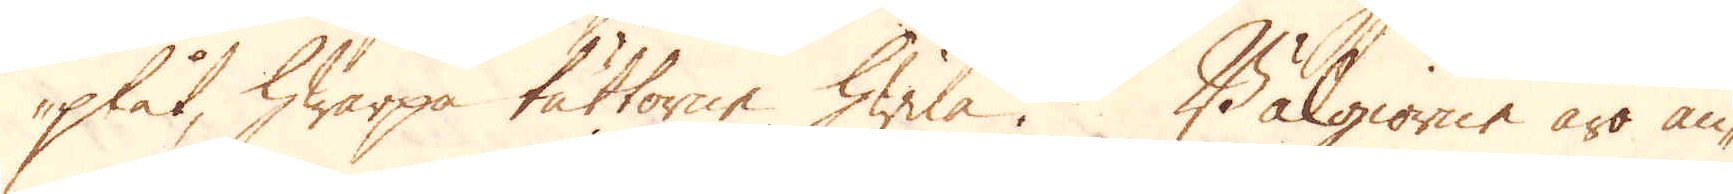plåt, hwarpå tättorne hwila. Bälgiorne äro an-
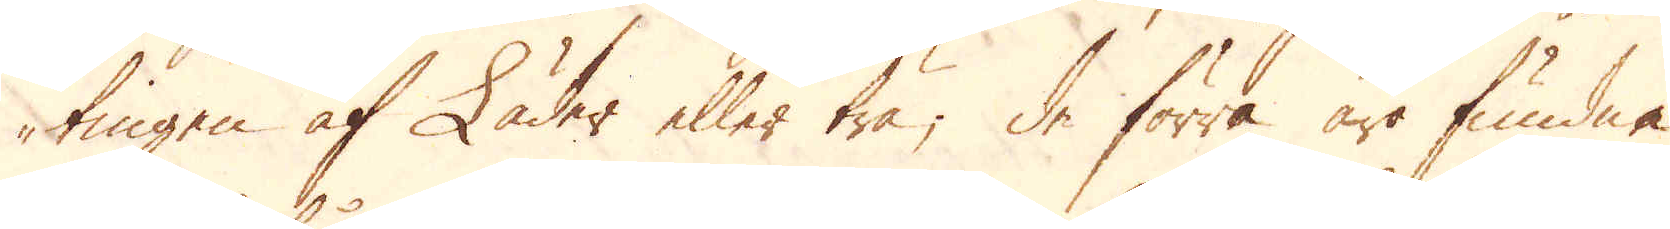tingen af Läder eller trä; de förra äro fundne
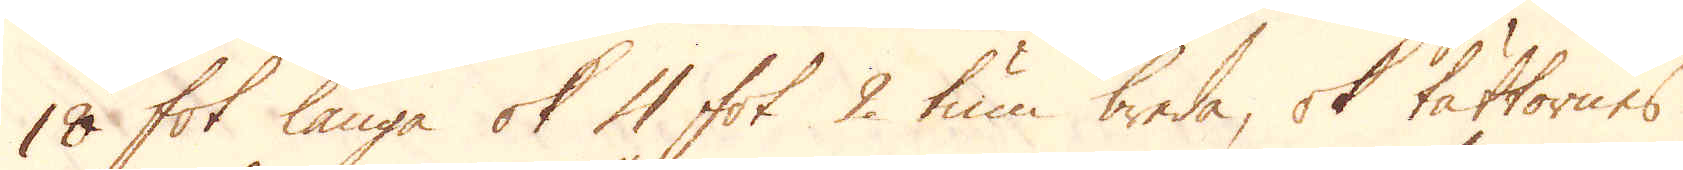18 fot långa ok 4 fot 2 tum breda, ok tättornes
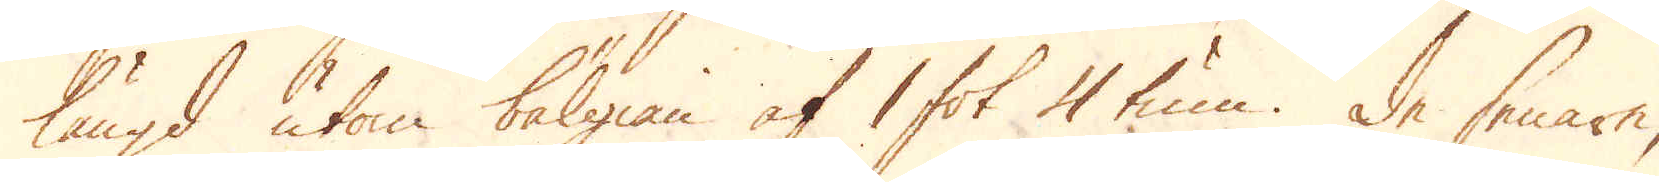längd utom bälgian af 1 fot 4 tum. De senare,
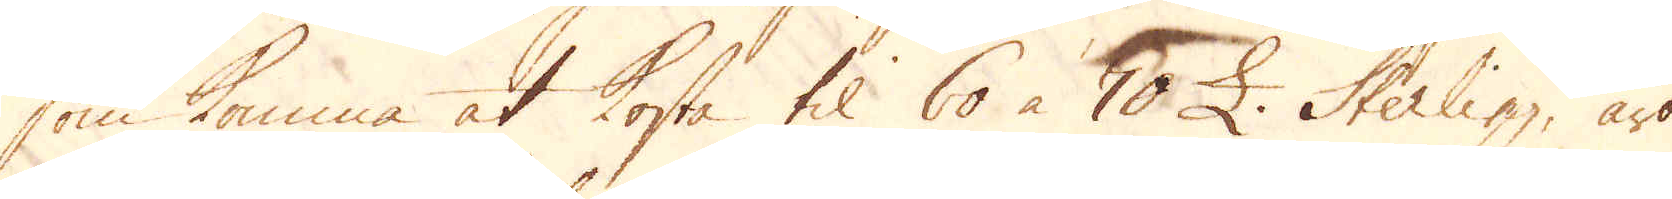som komma at kosta til 60 à 70 £. Sterling, äro
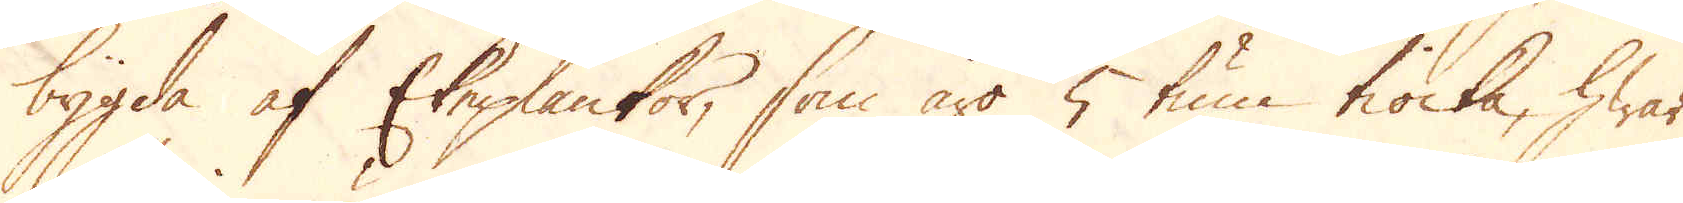bygda af Ekeplankor, som äro 5 tum tiocka, hwar
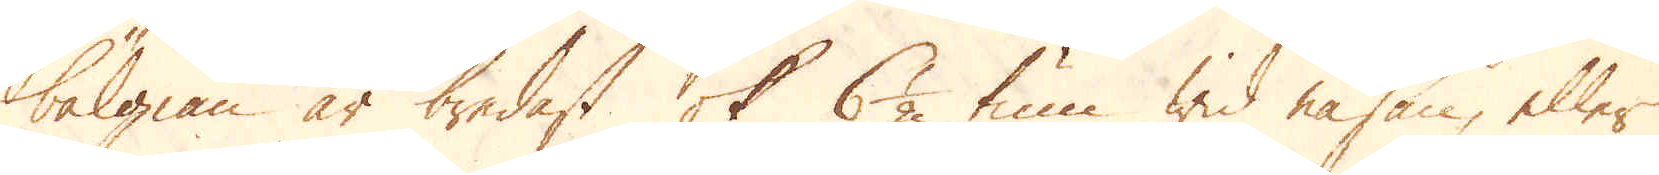bälgian är bredast ok 6 1/2 tum wid näsan, eller
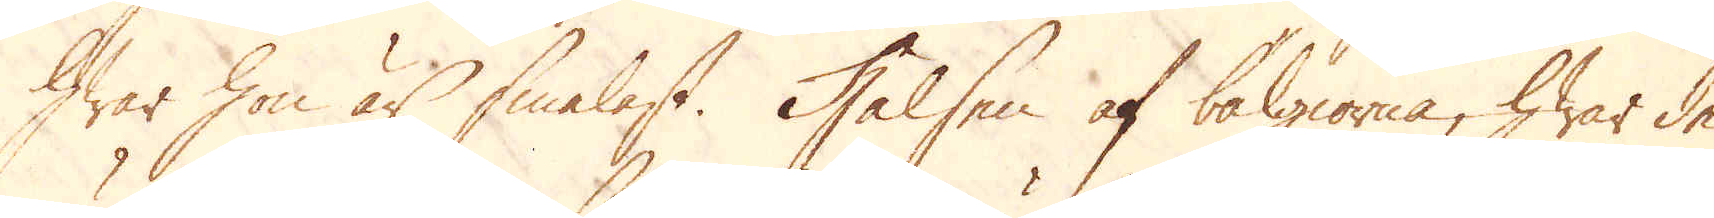hwar hon är smalast. Halsen af bälgiorna, hwar de
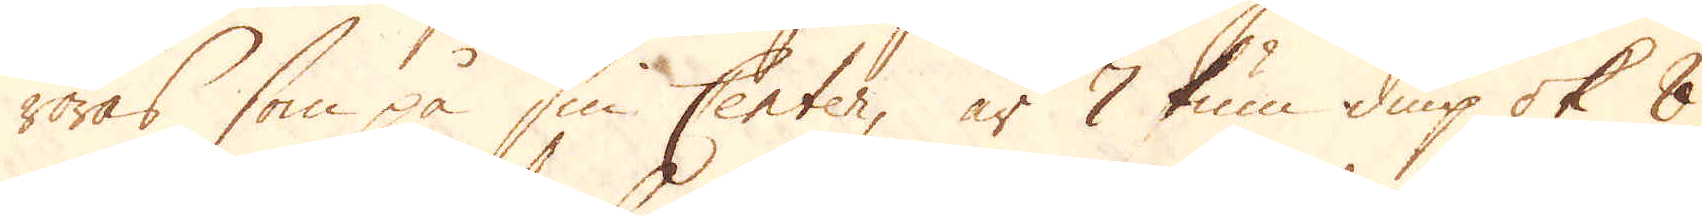röras som på sin Center, är 7 tum diup ok 8
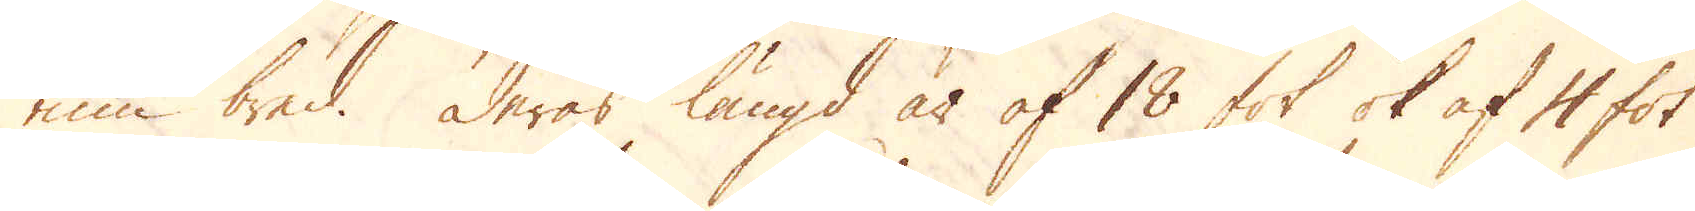tum bred. Deras längd är af 18 fot ok af 4 fot
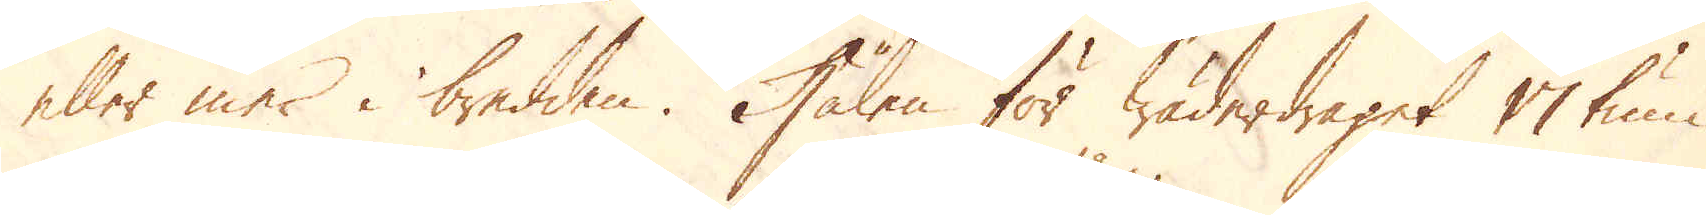eller mer i bredden. Hålen för wäderdraget 17 tum
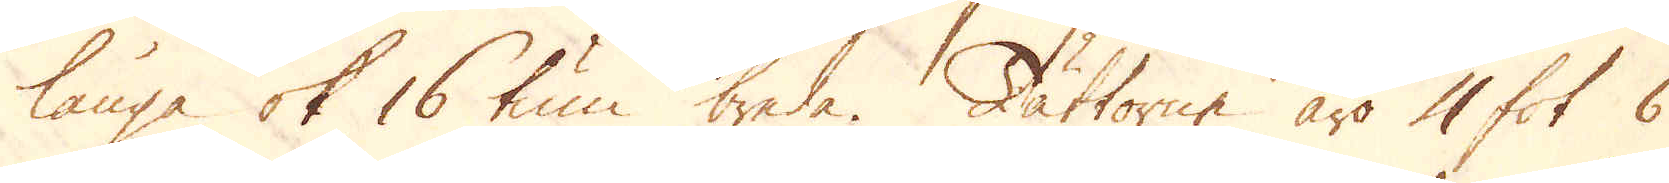långa ok 16 tum breda. Tättorne äro 4 fot 6
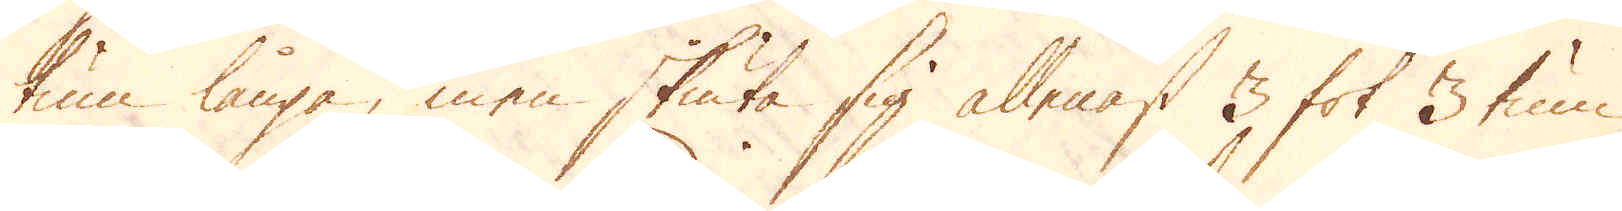tum långa, men skiuta sig allenast 3 fot 3 tum
